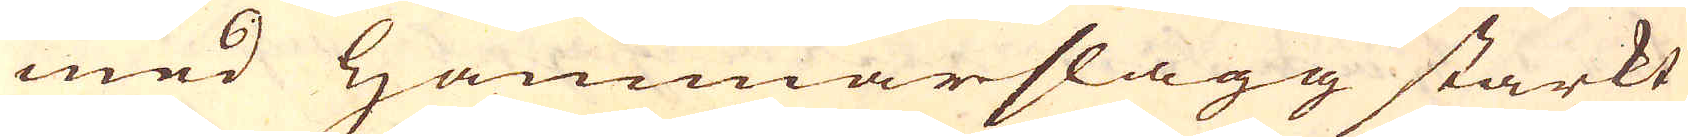med Hammarslagg starkt
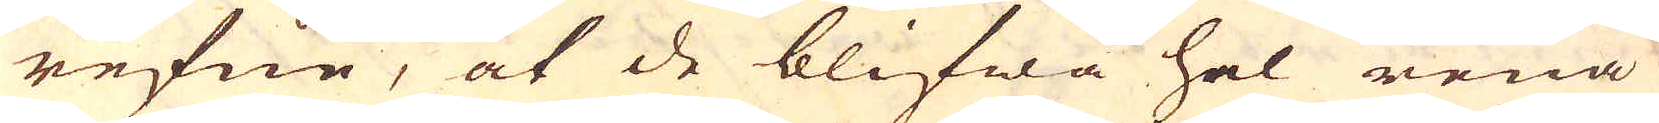refne, at de blifwa hel rena
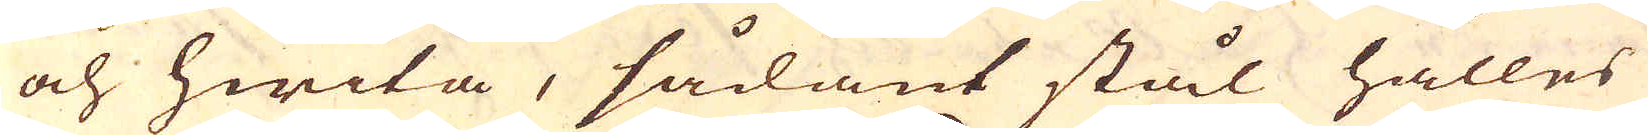och hwita, sådant stål hålles
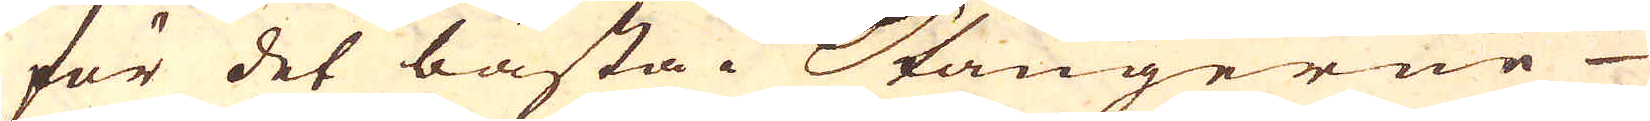för det bästa. Stängerne
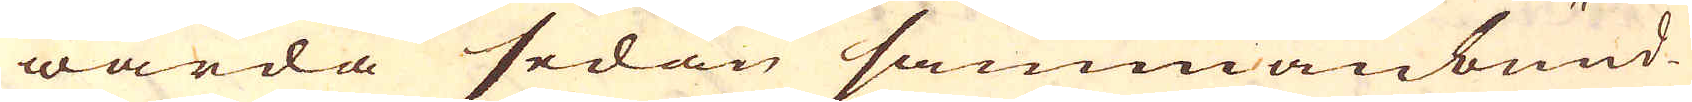warda sedan sammanbund-
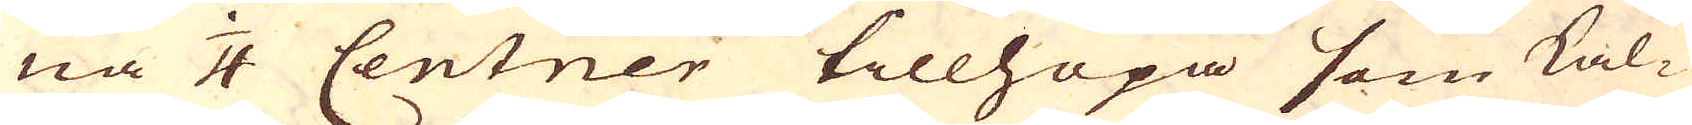na 1/4 Centner tillhopa som kal-
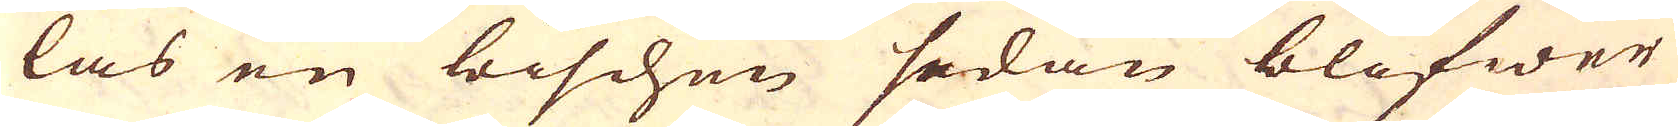las en bischen sedan blifwer
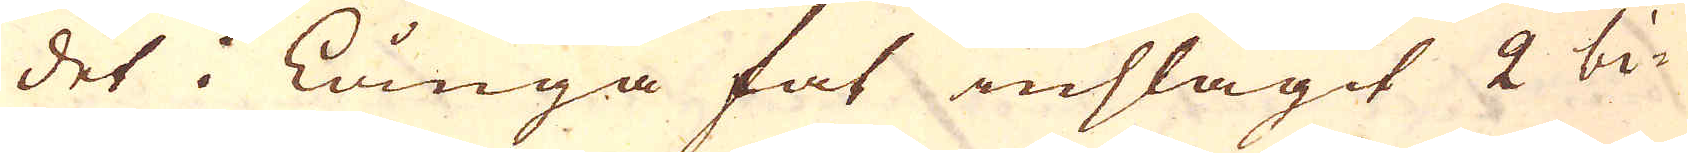det i Långa fat inslagit 2 bi-
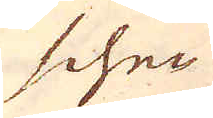schen
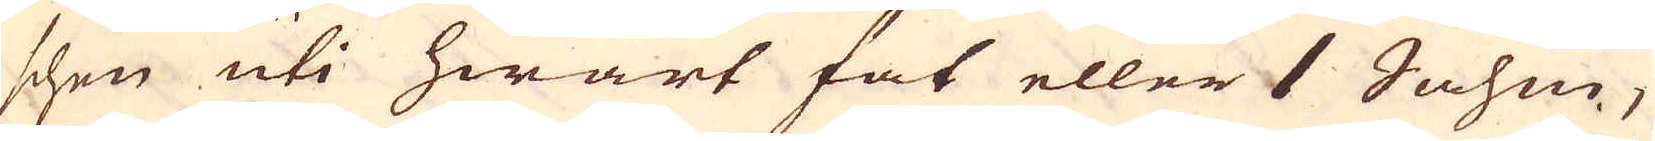schen uti hwart fat eller 1 Sahm,
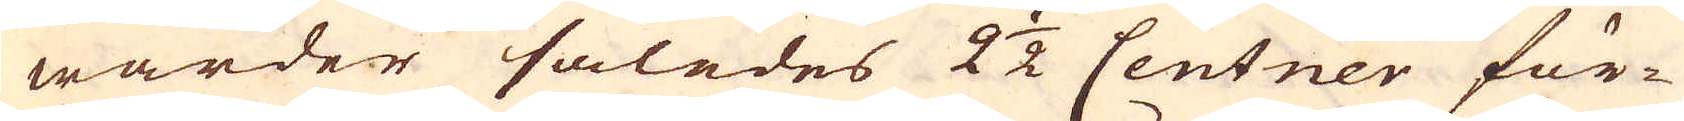warder således 2 1/2 Centner för-
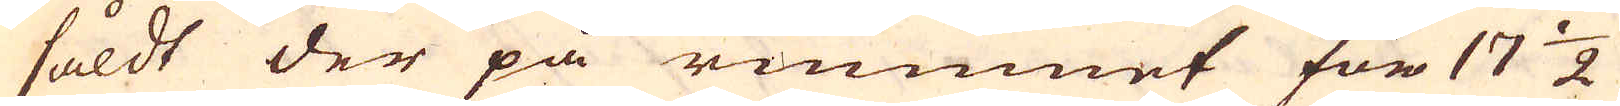såldt der på rummet för 17 1/2
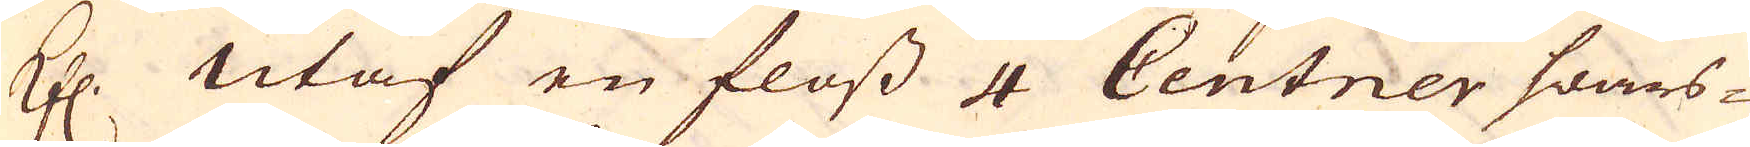Kfl. utaf en floss 4 Centner swars-
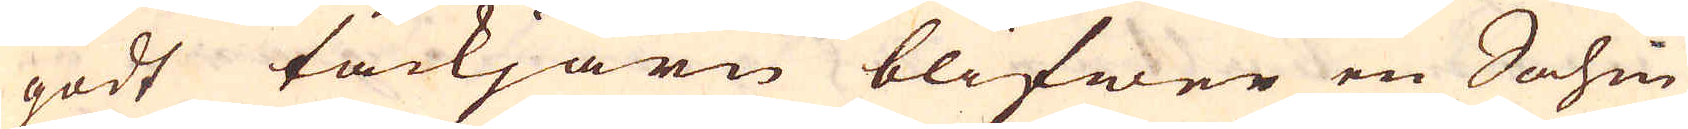godt tackjärn blifwer en Sahm
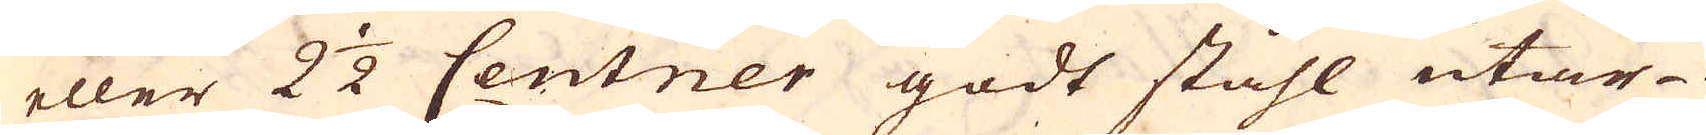eller 2 1/2 Centner godt ståhl utar-
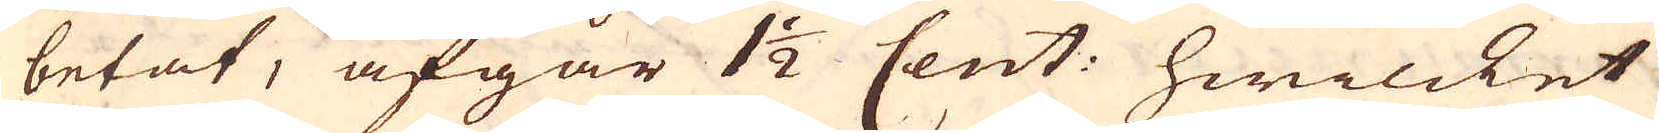betat, afgår 1 1/2 Cent: hwilcket
